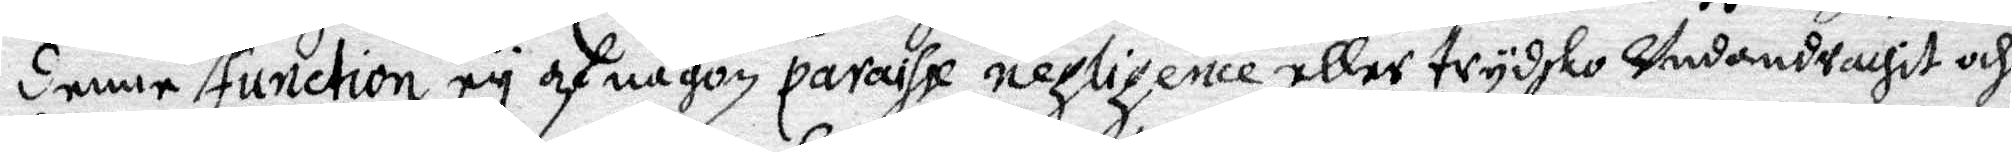denna function ey af någon paraishe negligence eller trydsko Undandrachir och 
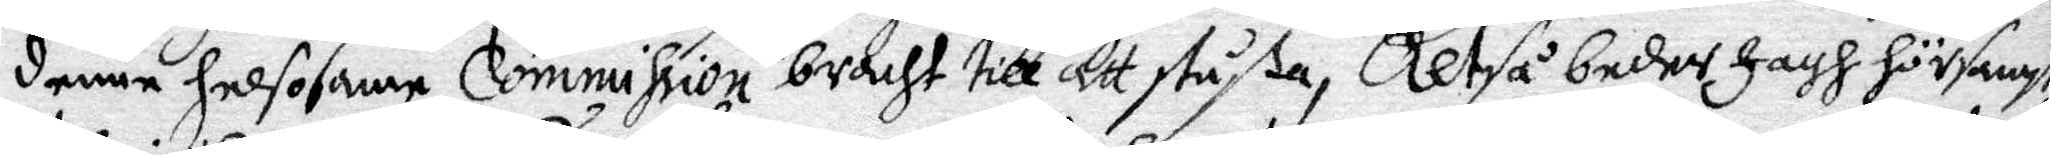denne helsosame Commision bracht till att stußa, Altså beder Jagh hörsamst
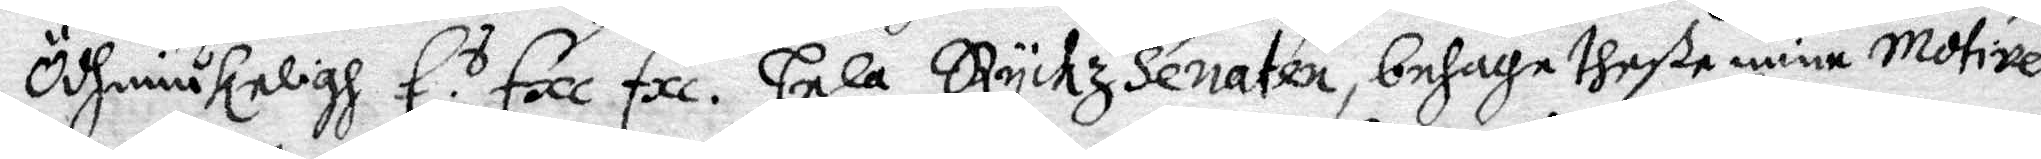Öshmiukeligh E. s Exe Exe. hela Ryckz Senaten, behaga theße mine Motiwer
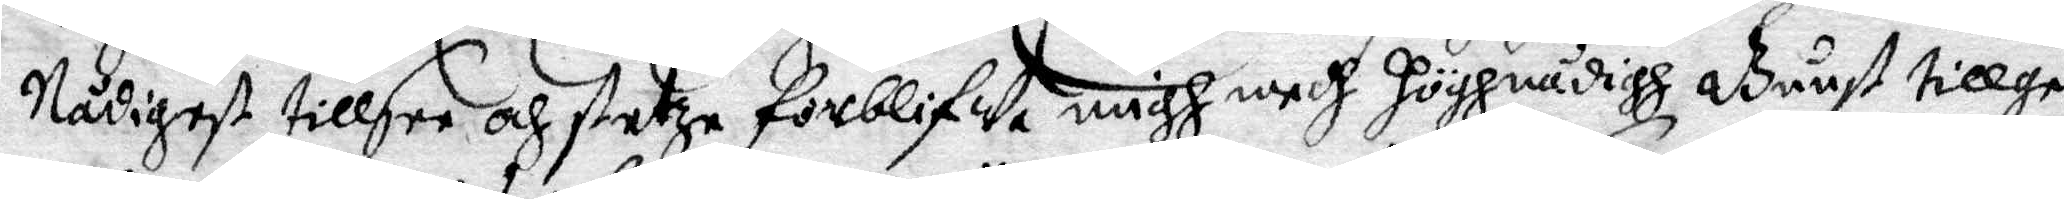Nådigest tillsee och stetze förblifwe migh medh höghrådigh Gunst tillge¬
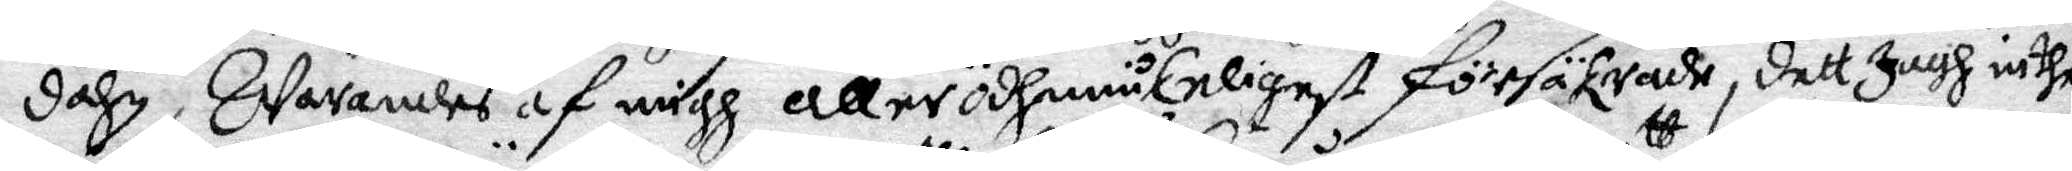dahn, Warandes af migh allerödhmiukeligst försäkrade, dett Jagh inthe
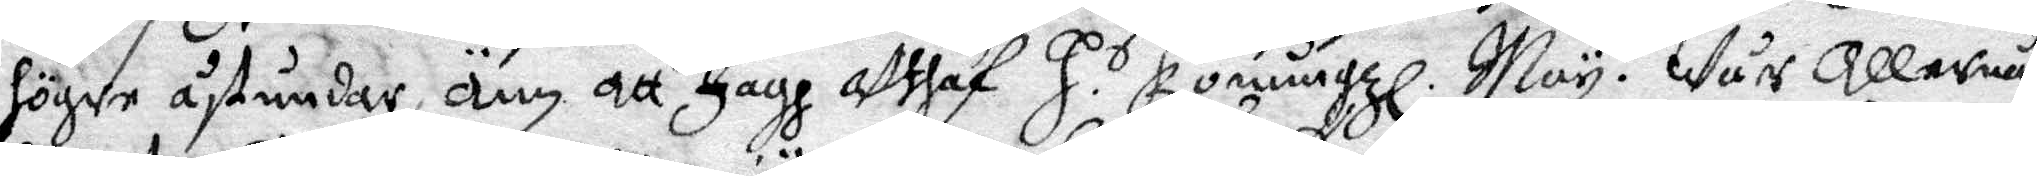högre åstundar än att Jagh Uthaf H s Konungzl. May. tt Wår allernå¬
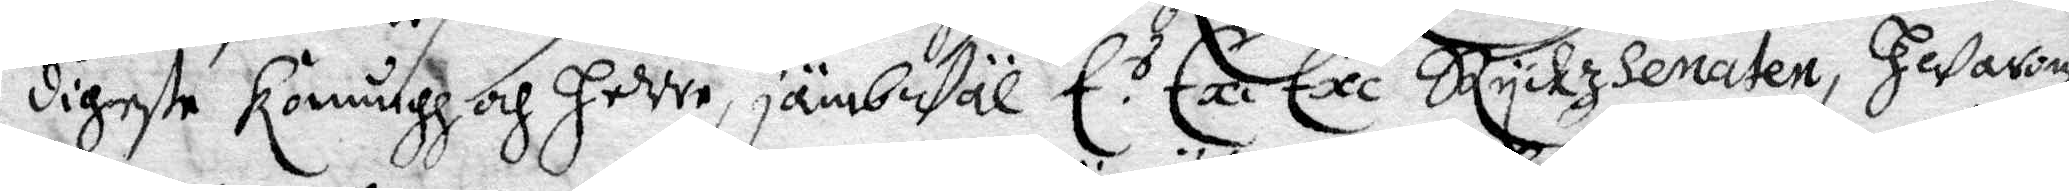digste konungh och Herre, jämbWäl E. s Exe Exe Ryckz seaten, Hwaran
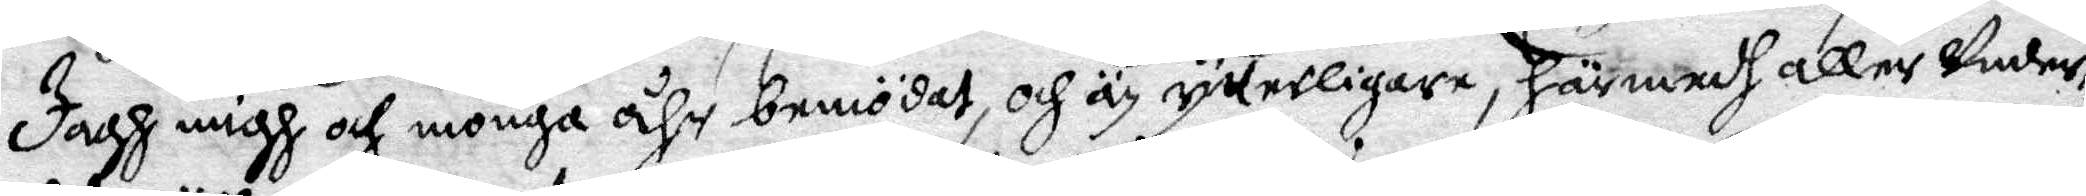jagh migh och monga åhr bemödat, och är rykerligare, härmedh aller Under¬
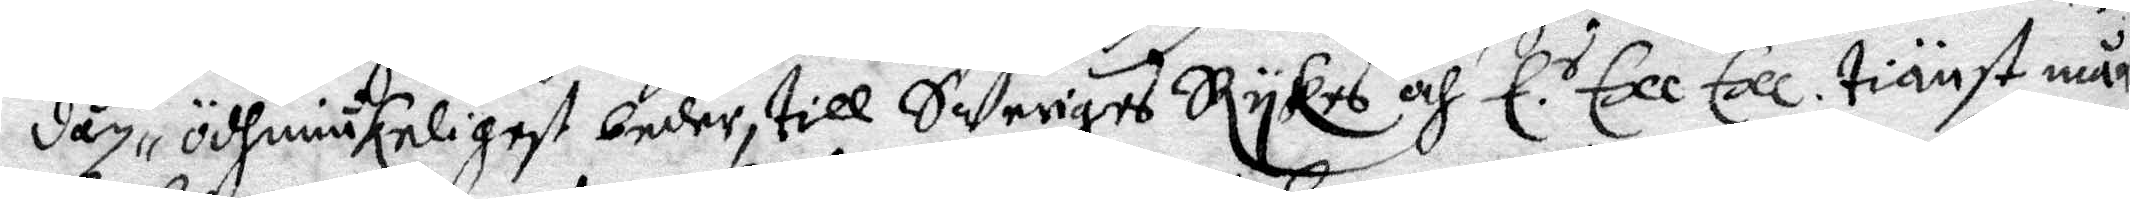dån, ödhmiukeligest beder, till SWeriges RyKes och E. s Exe Exe. tiänst må
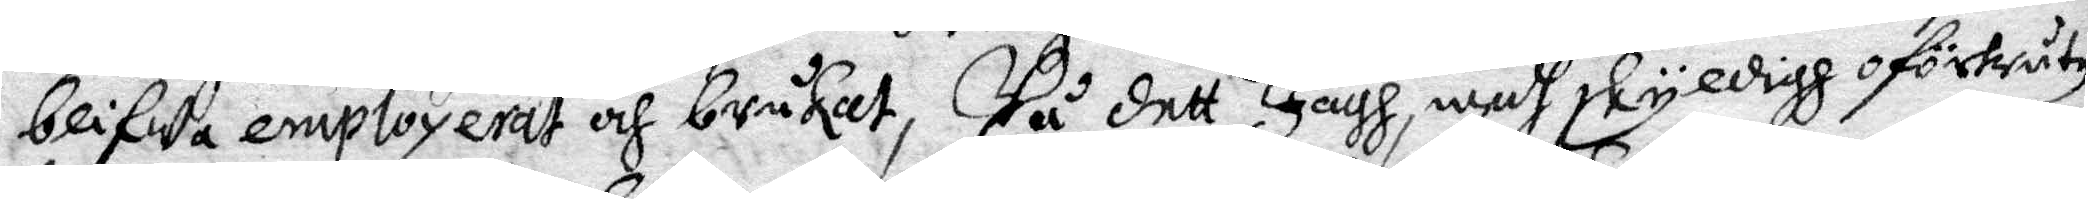blifwa employerat och brukat, På dett Jagh, medh skyldigh oförtruten
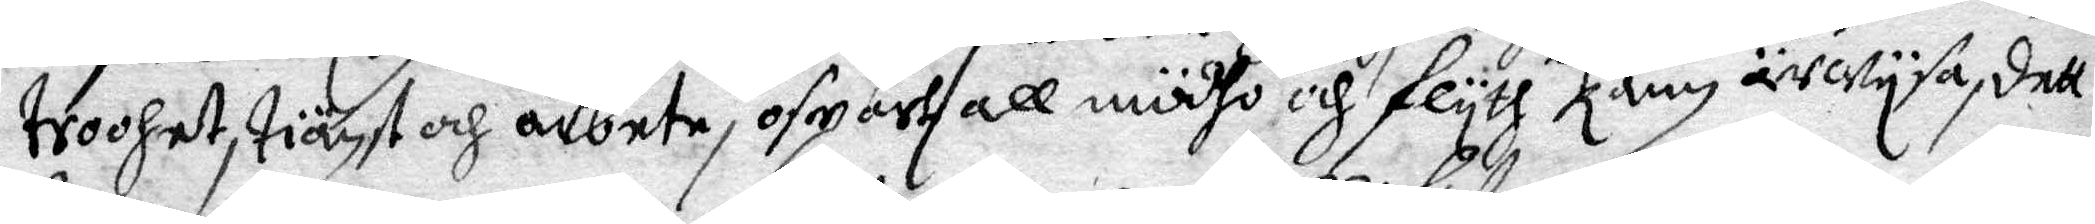troohet, tiänst och arbete, of...all mödho och flyth kan ärwysa, dett
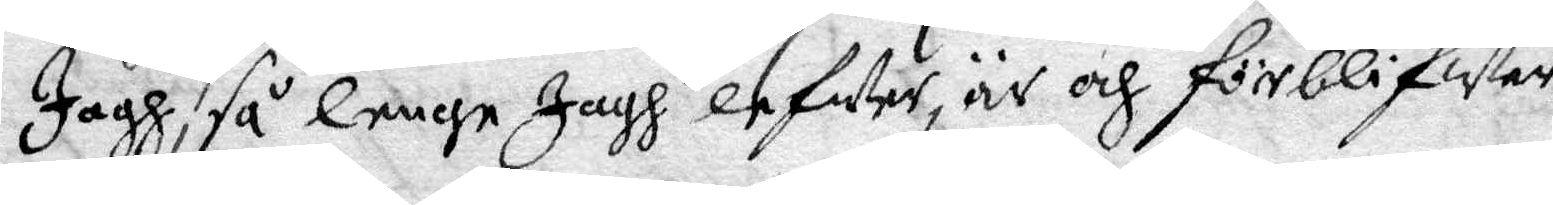Jagh, så lenge Jagh lefWer, är och förblifwer
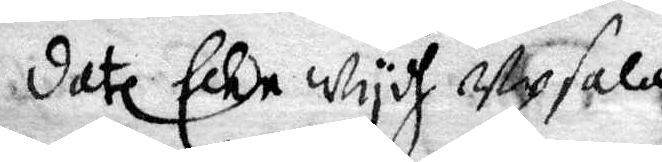datl ... wydh Upsala
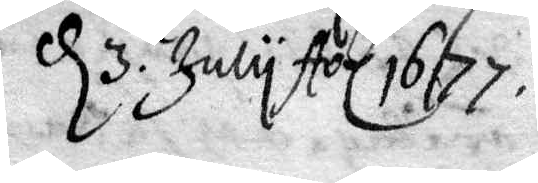d 3 July Aol 1677.
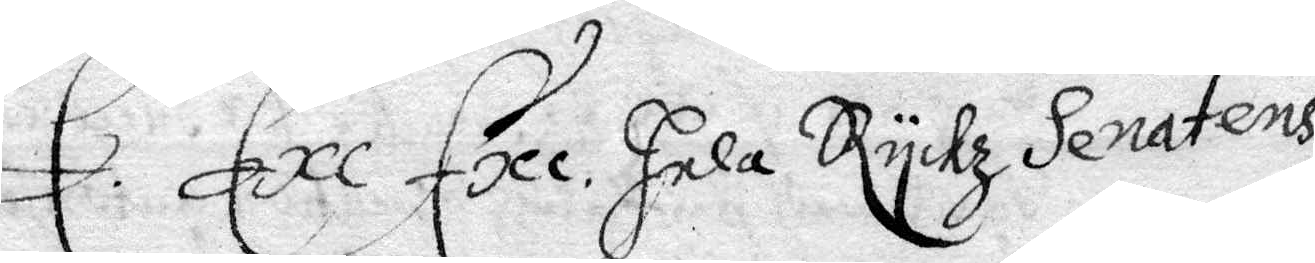E s Exe Exe. hela Rykz Senatens
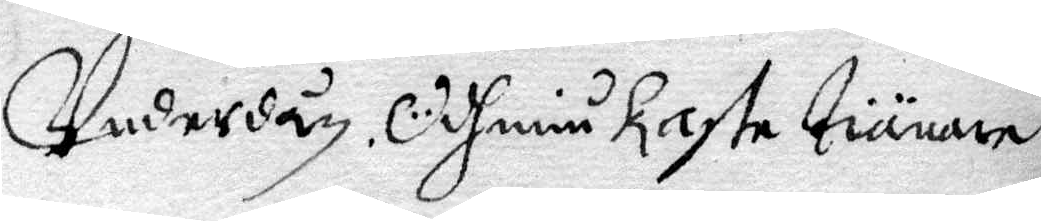Underdån Ödhmiukaste Tiänare
